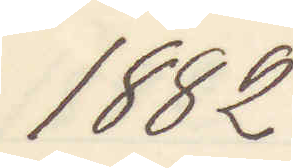1882
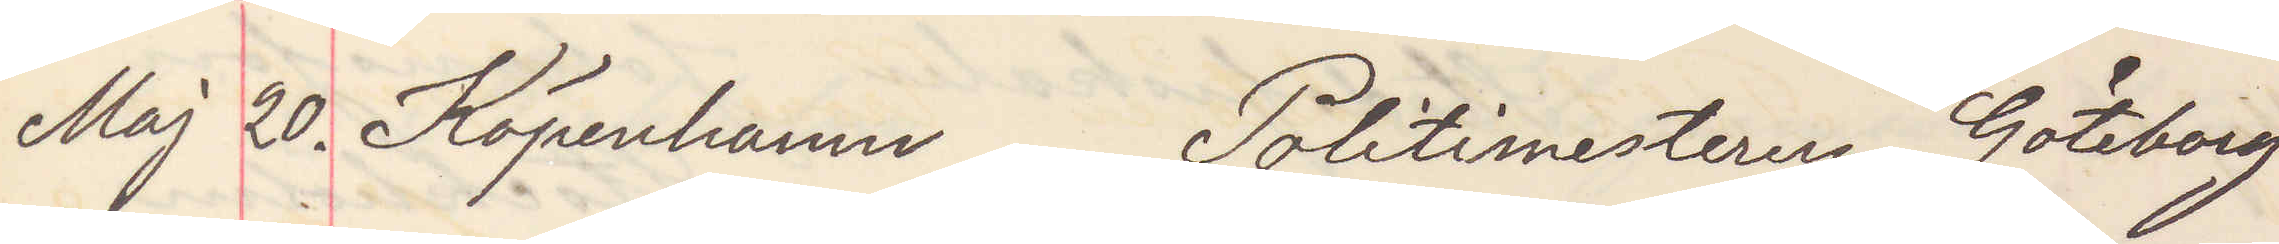Maj 20. Köpenhamn Politimesteren Göteborg
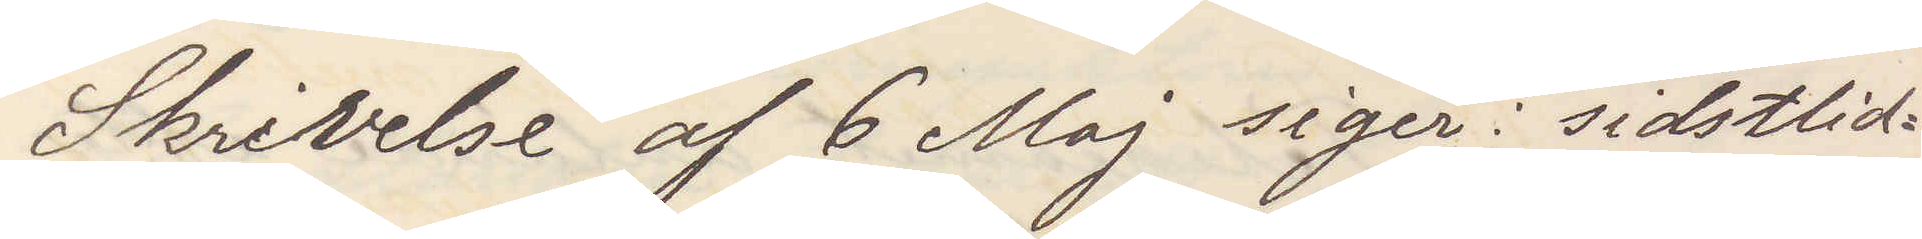Skrifvelse af 6 Maj siger: sistlid¬
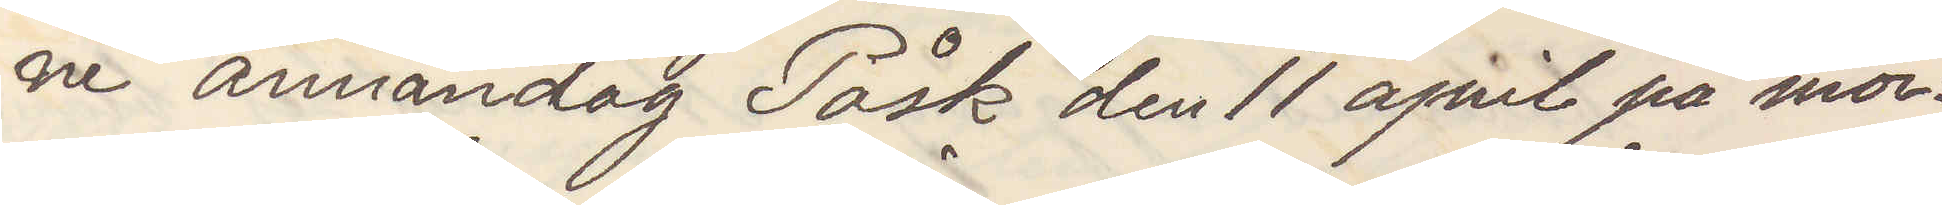ne annandag Påsk den 11 april på mor¬
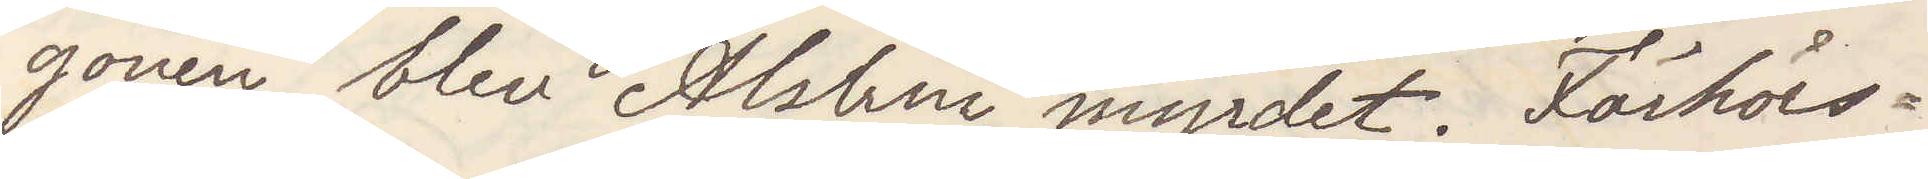gonen blev Alstrin myrdet. Förhörs¬
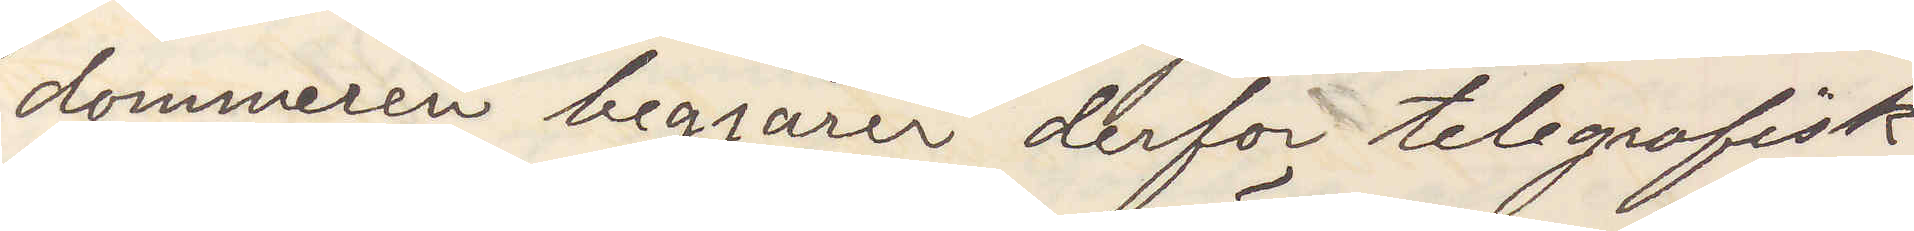dommeren begjårer derfor telegrafisk
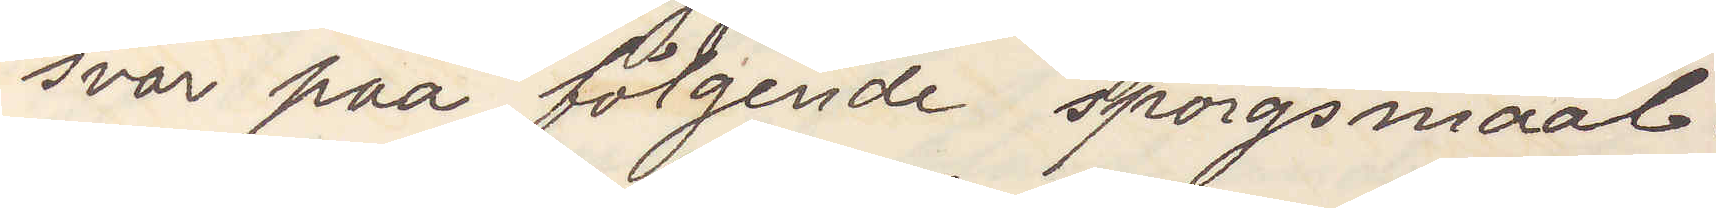svar paa fölgende spörgsmaal:
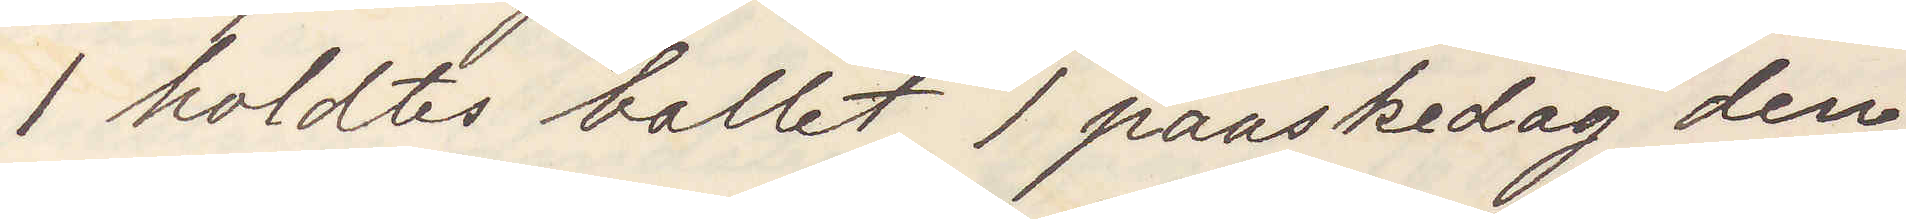1 holdets ballet 1 paaskedag den
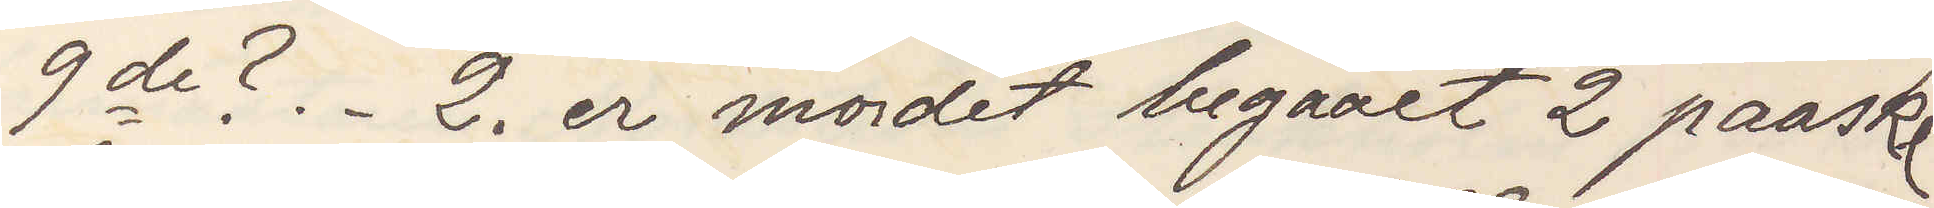       9de?. 2. er mordet begaaet 2 paaske¬
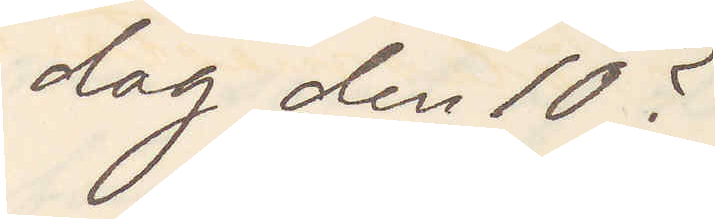dag den 10?
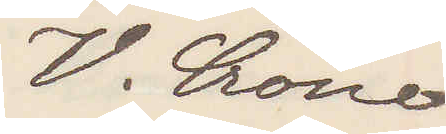V. Crone
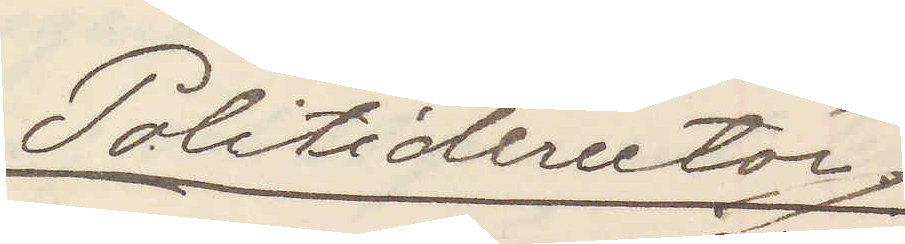Politidirectör
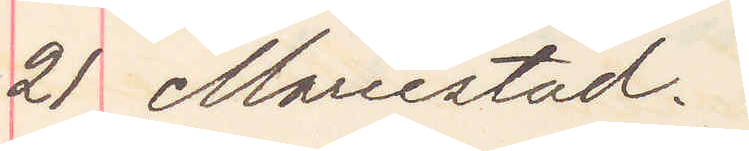21 Mariestad.
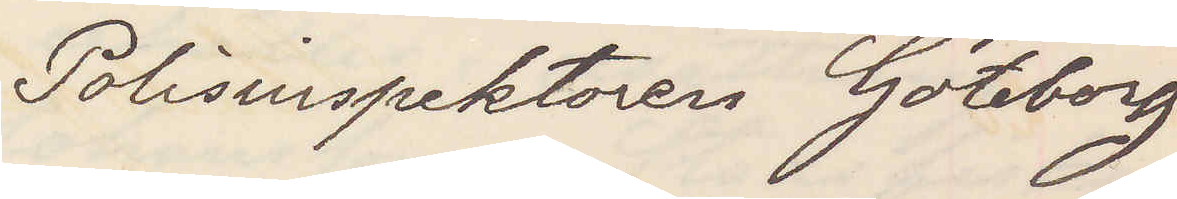Polisinspektoren Göteborg
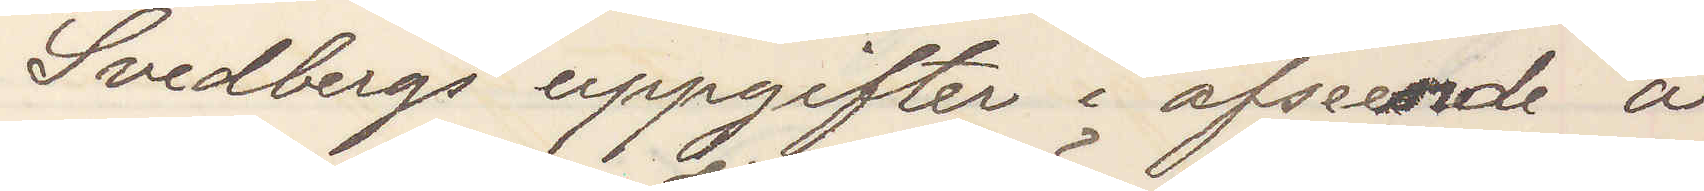Svedbergs uppgifter i afeende å
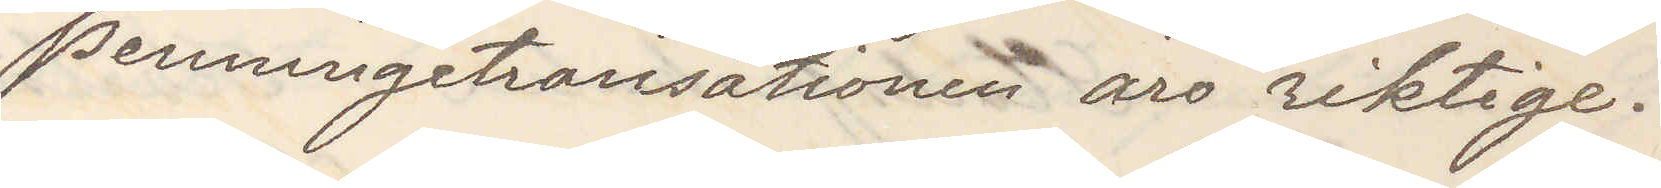penningetransationen äro riktige.
